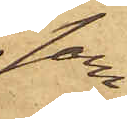sam¬
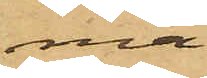ma
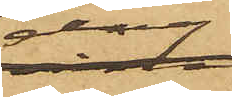dag
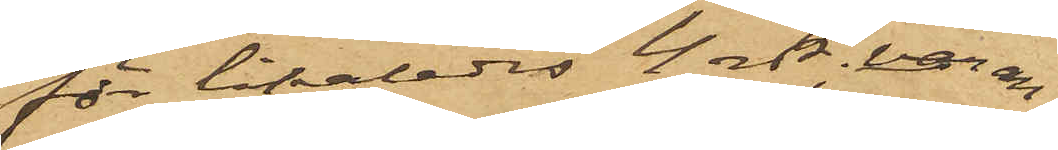för likaledes 4 rdr, varan¬
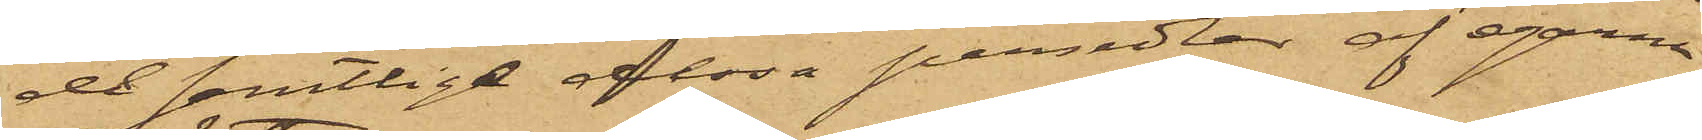de samtlige dessa persedlar af egarne
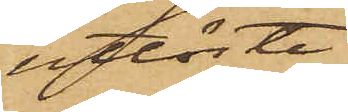utlöste.
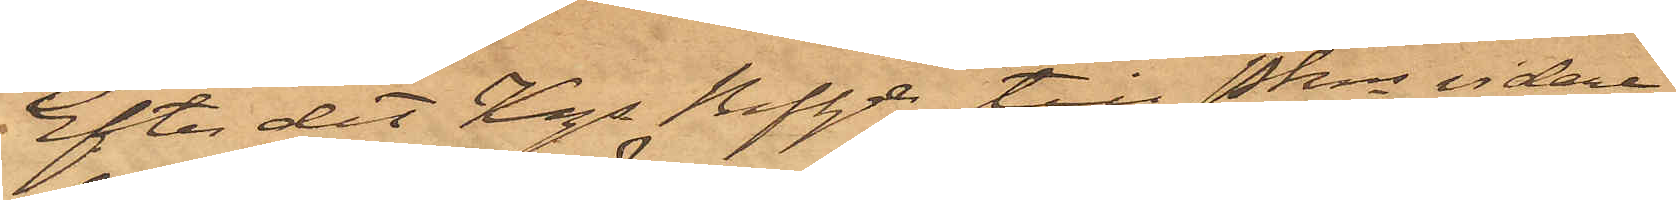Efter det Kgl Majt till Pkns vidare
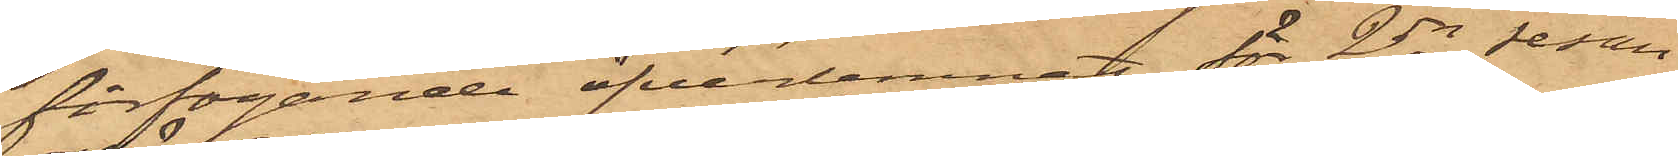förfogande öfverlemnat för 2dra resan
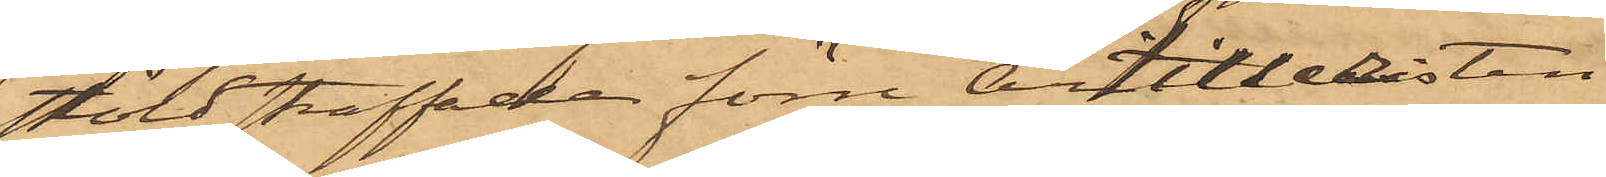stöld straffade förre Artilleristen
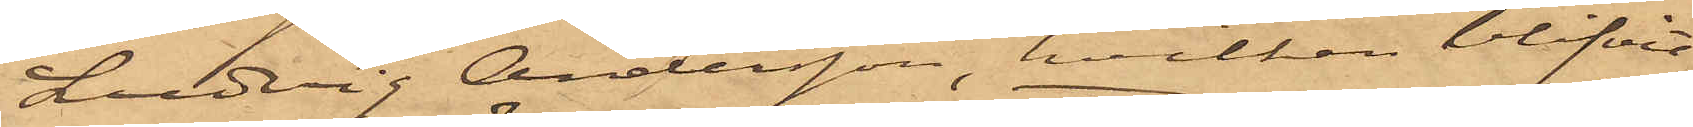Ludvig Andersson, hvilken blifvit
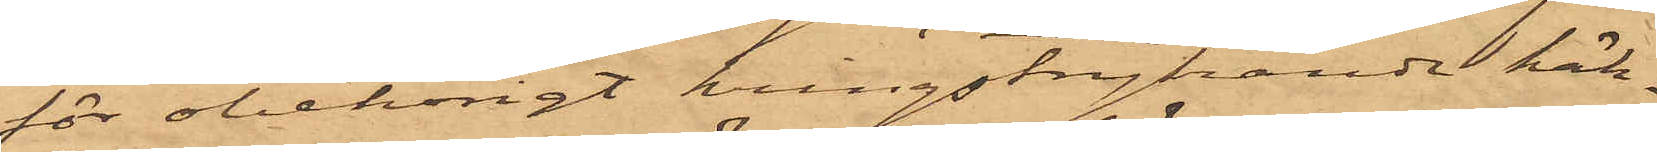för obehörigt kringstrykande häk¬
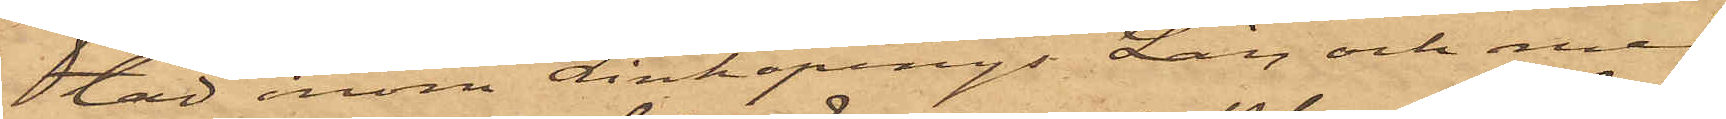tad inom Linköpings Län och med
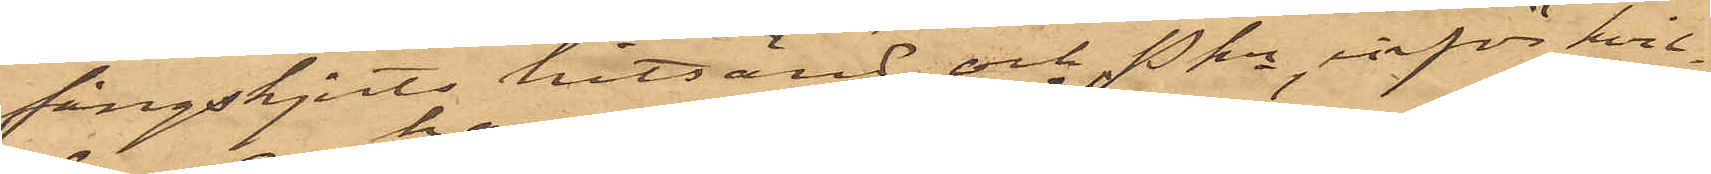fångskjuts hitsänd, och Pkn, inför hvil¬
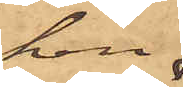ken
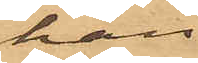han
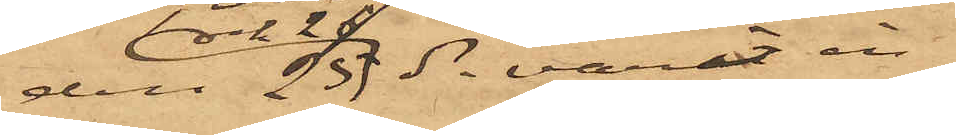den 25 och 26 ds varit in¬
